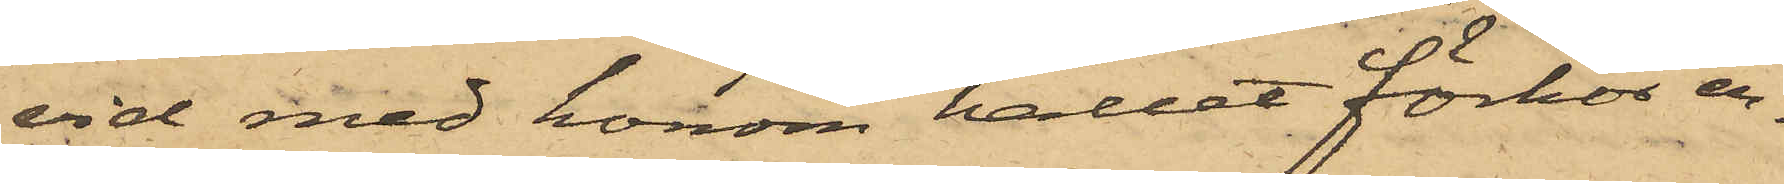vid med honom hållet förhör er¬
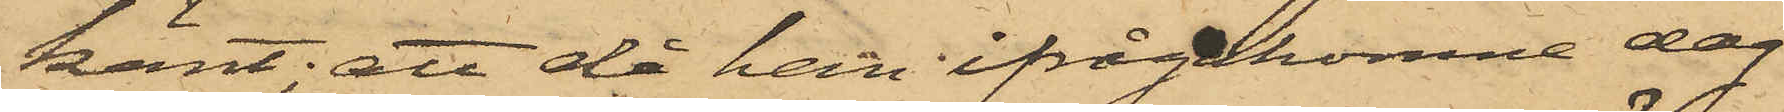känt; att då han ifrågakomne dag
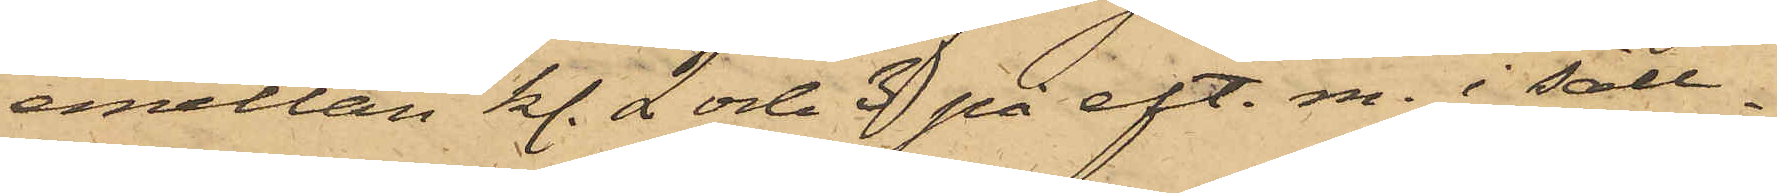emellan kl. 2 och 3 på eft. m. i säll¬
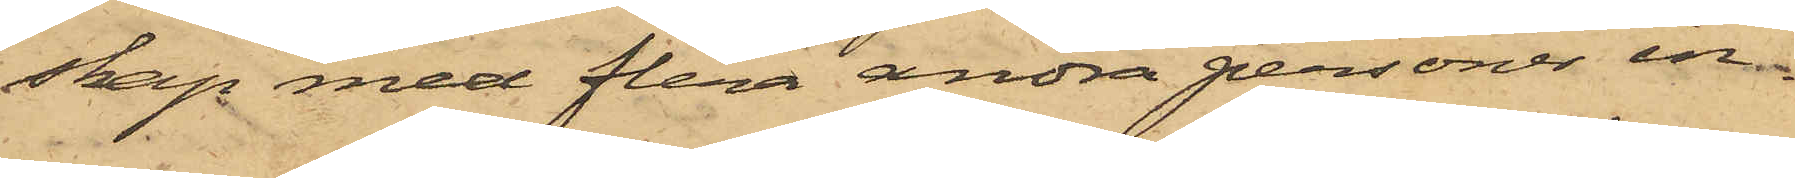skap med flera andra personer in¬
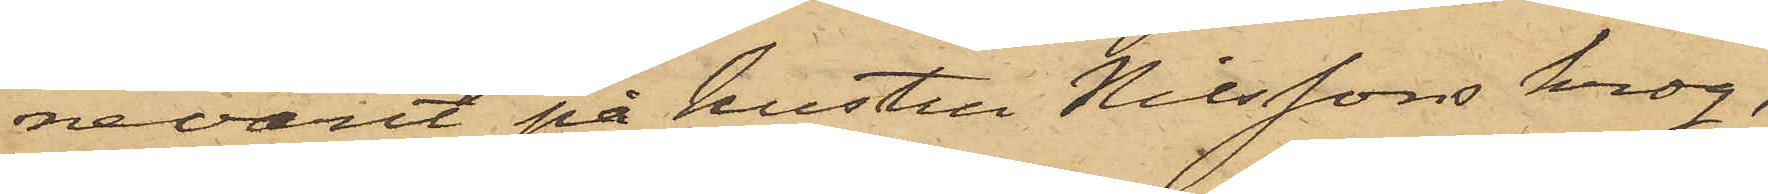nevarit på hustru Nilssons krog,
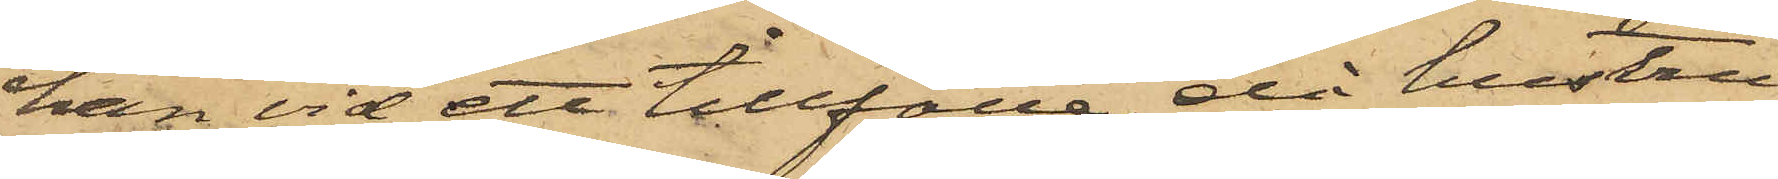han vid ett tillfälle, då hustru
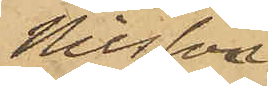Nilsson
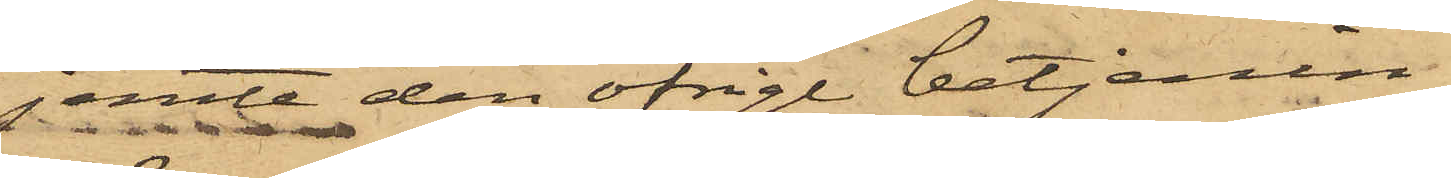jemte den öfrige betjenin¬
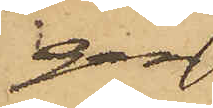gen
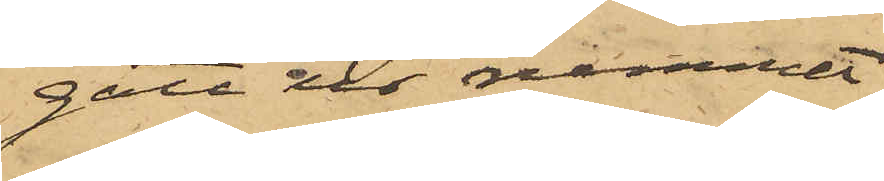gått ur rummet,
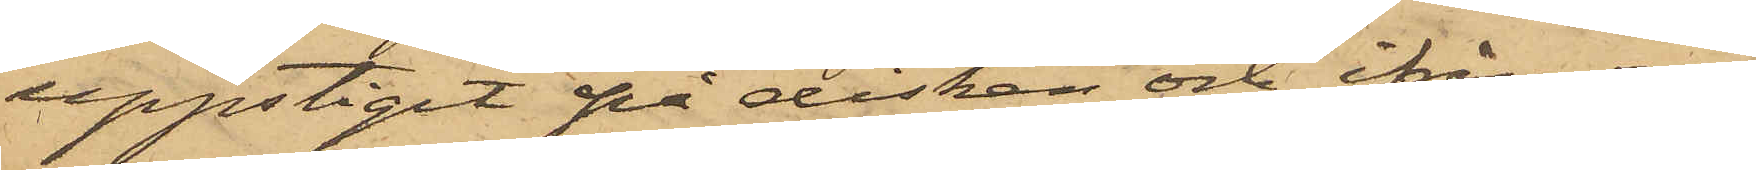uppstigit på disken och ifrån en
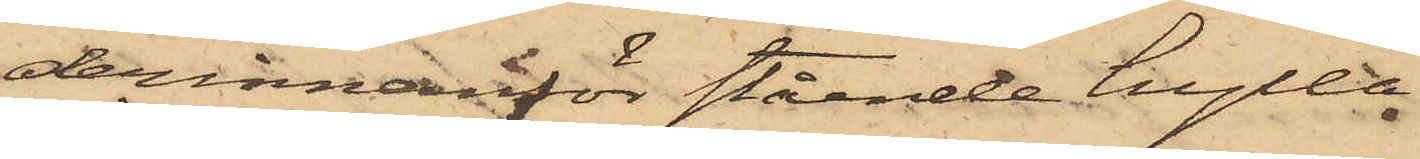derinnanför stående hylla
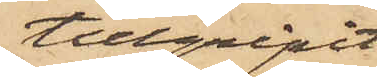tillgripit
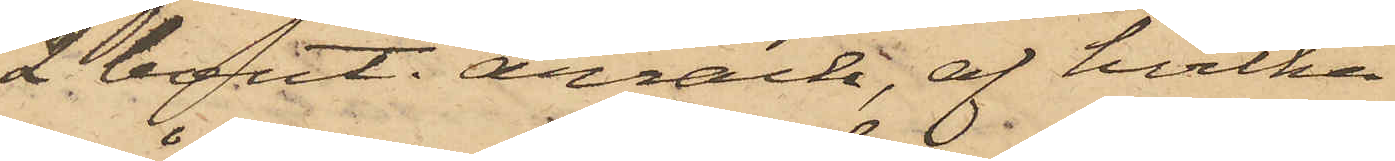2 bout. arrack, af hvilka
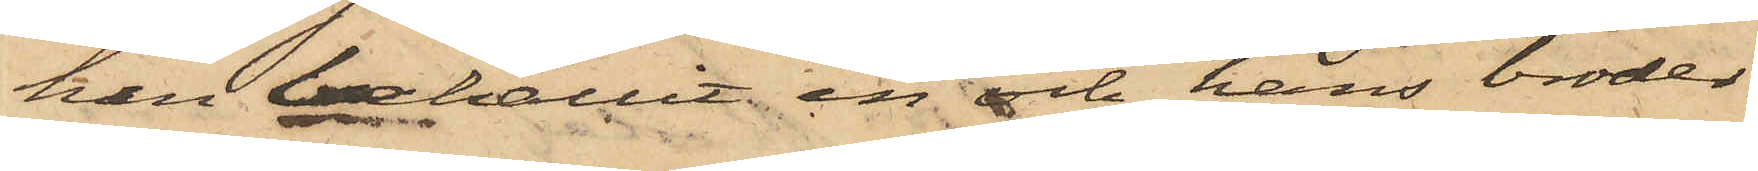han behållit en och hans broder
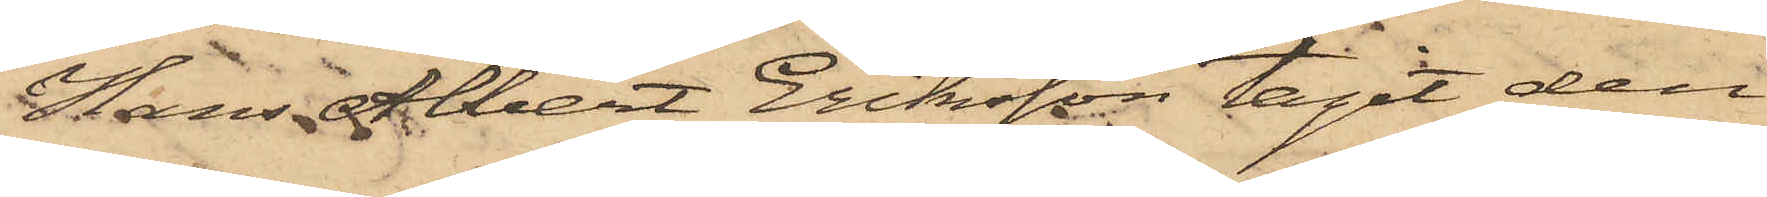Hans Albert Eriksson tagit den
